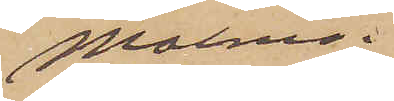Malmö.
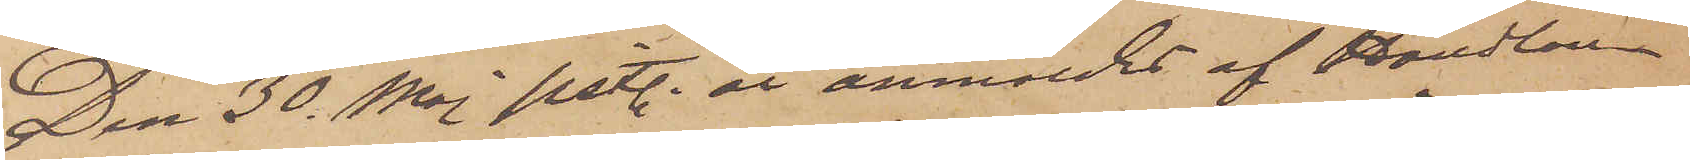Den 30 Maj sist. år anmäldes af Handlan¬
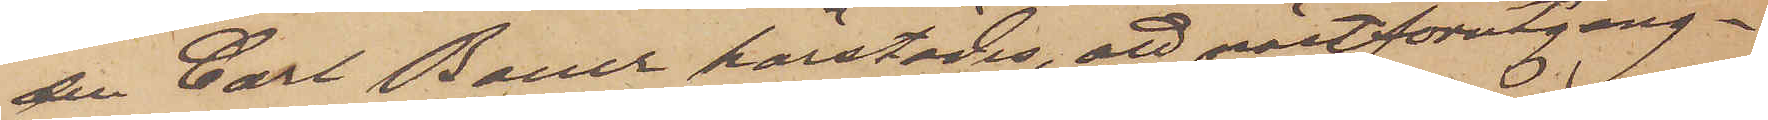den Carl Bauer härstädes, att nästförutgång¬
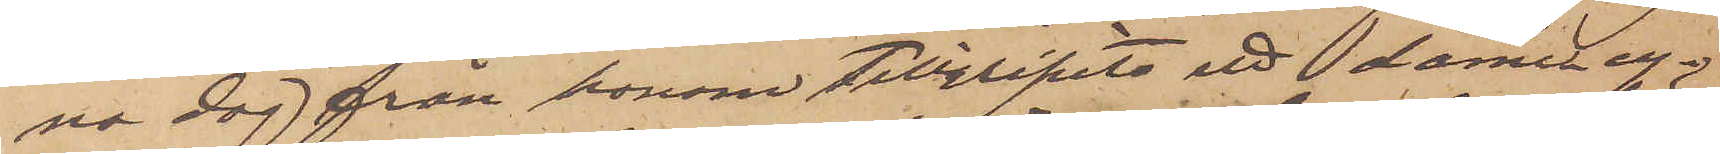na dag från honom tillgripits ett dame cy¬
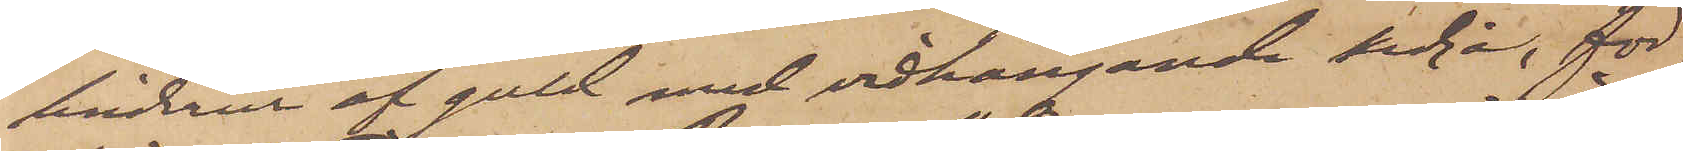linderur af guld med vidhängande kedja, för
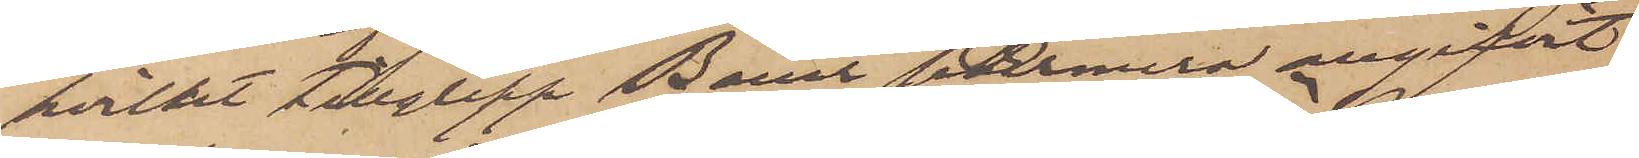hvilket tillgrepp Bauer sedermera angifvit
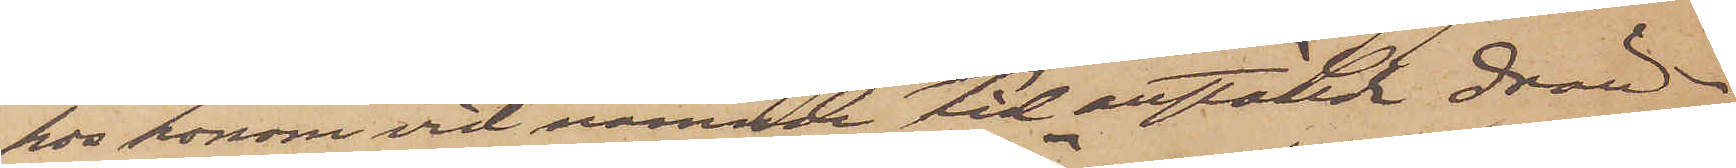hos honom vid nämnde tid anställa drän¬
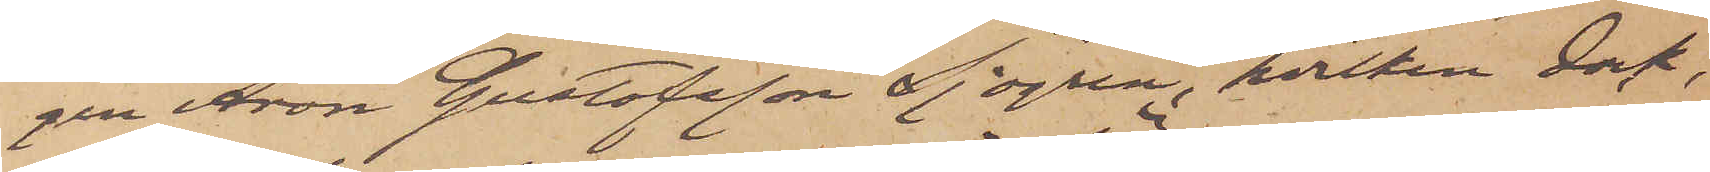gen Aron Gustafsson Sjögren, hvilken dock,
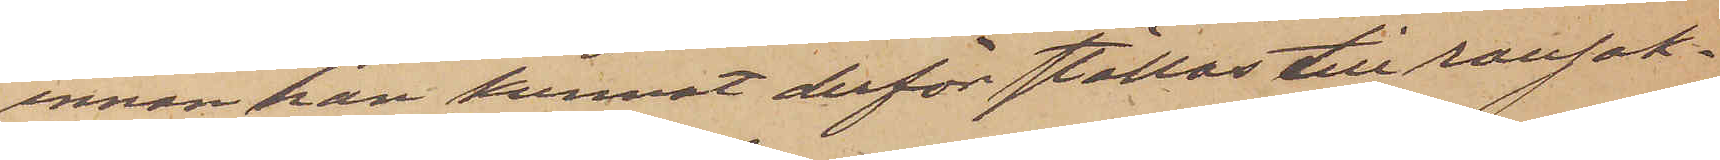innan han kunnat derför ställas till ransak¬
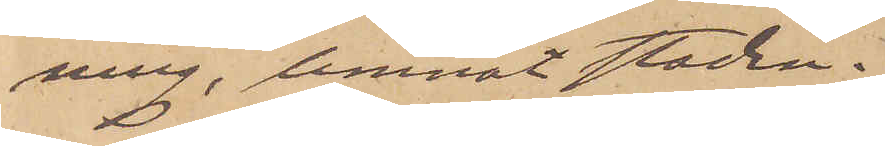ning, lemnat staden.
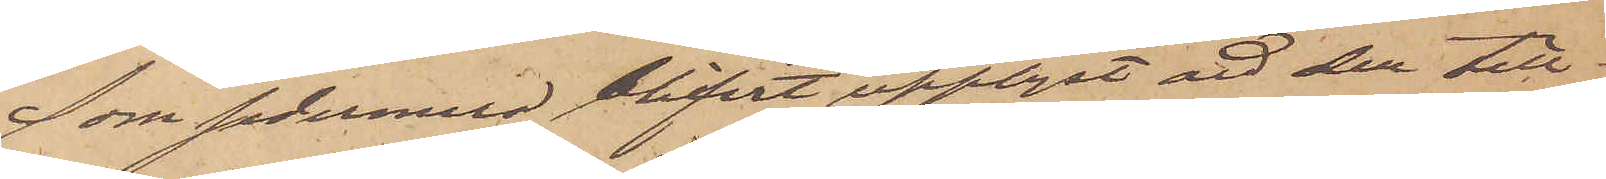Som sedermera blifvit upplyst att den till¬
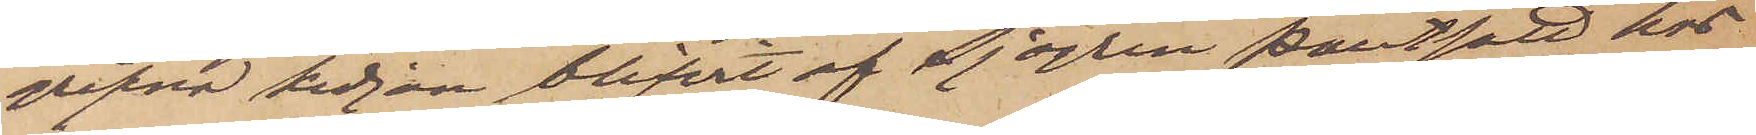gripne kedjan blifvit af Sjögren pantsatt hos
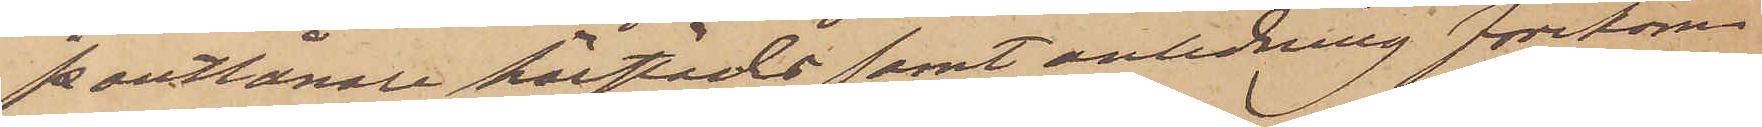pantlånare härstädes samt anledning förekom¬
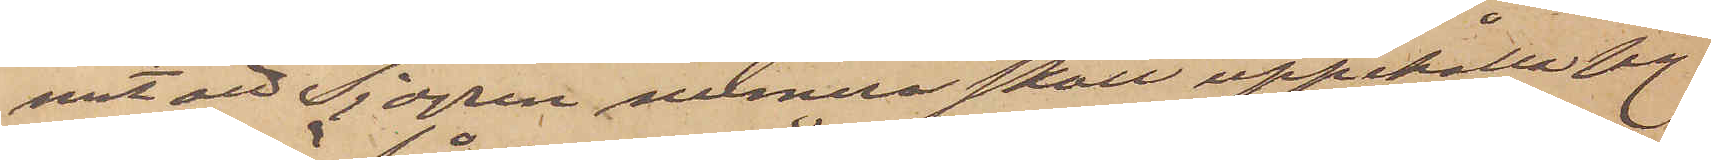mit att Sjögren numera skall uppehålla sig
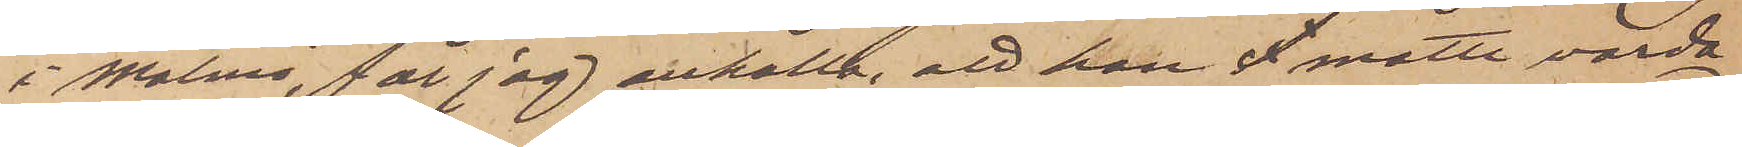i Malmö, får jag anhålla, att han l måtte varda
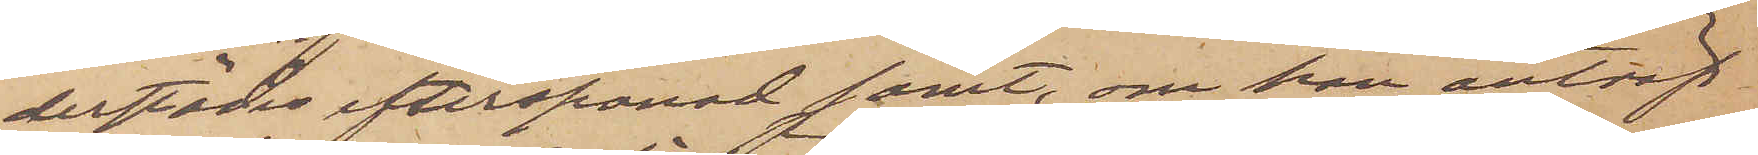derstädes efterspanad samt, om han anträf¬
